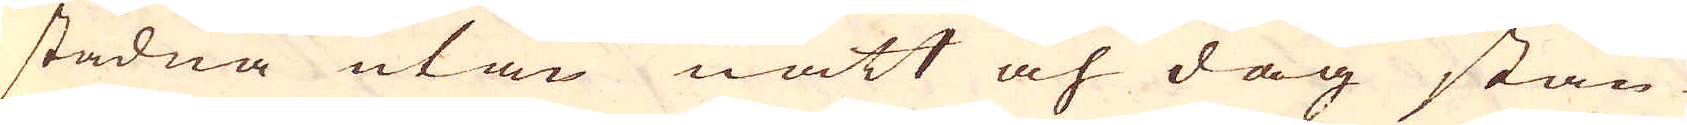stadna utan natt och dag stän-
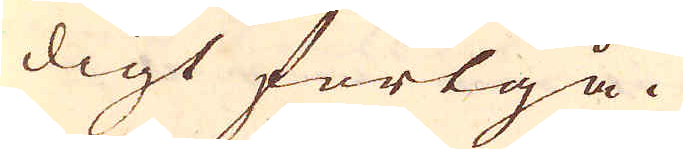digt fortgå.
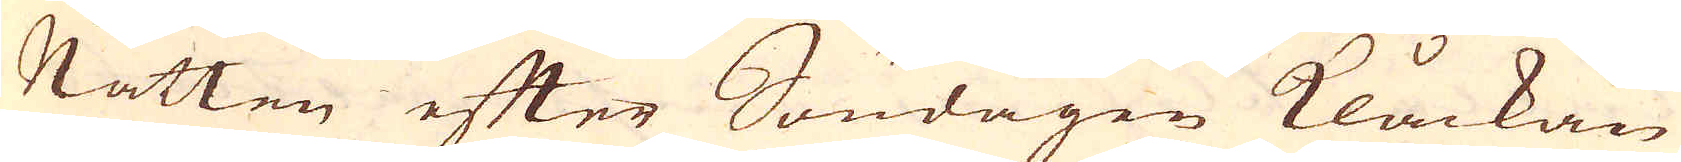Natten efter Söndagen Klåckan
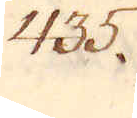435.
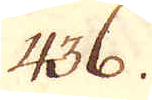436.
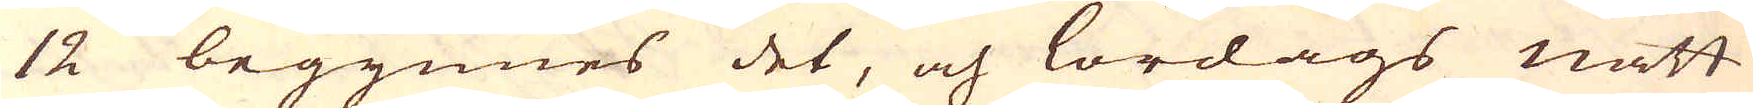12 begynnes det, och lördags natt
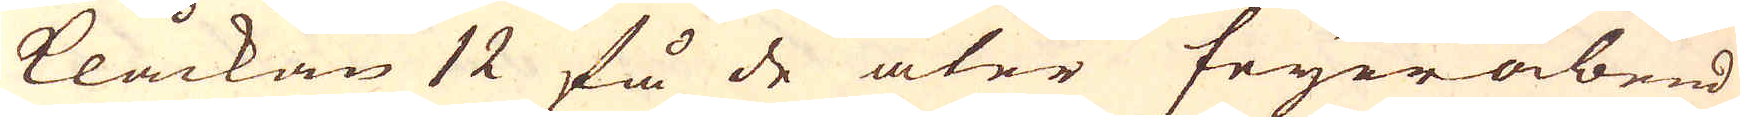klåckan 12 få de åter feyerabend,
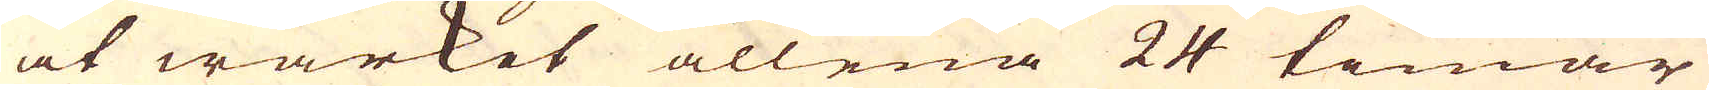at wärket allena 24 timar
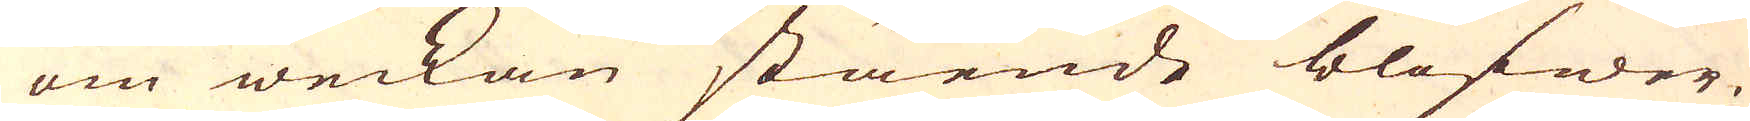om weckan stående blifwer.
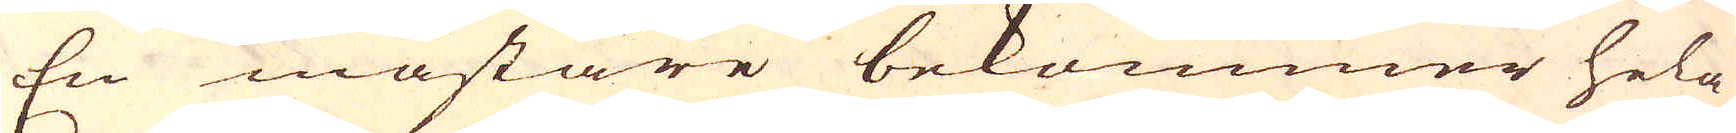En mästare bekommer hela
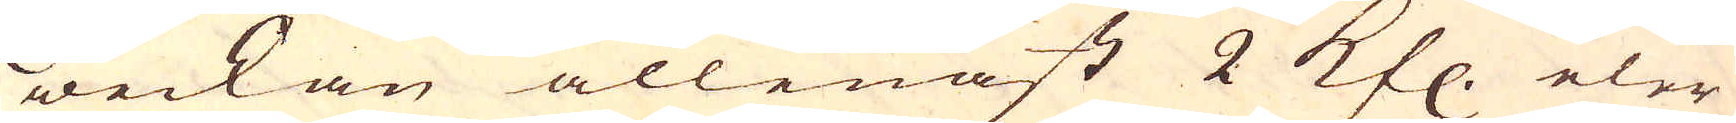weckan allenast 2 Kfl. eler
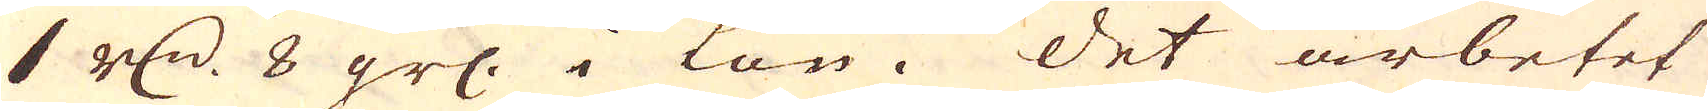1 r:dr 8 gr: i Lön. Det arbetet
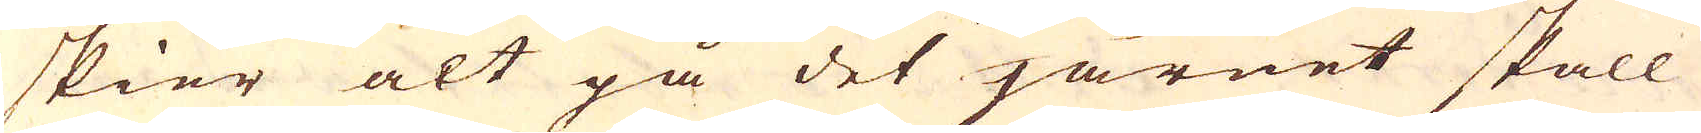skier alt på det järnet skall
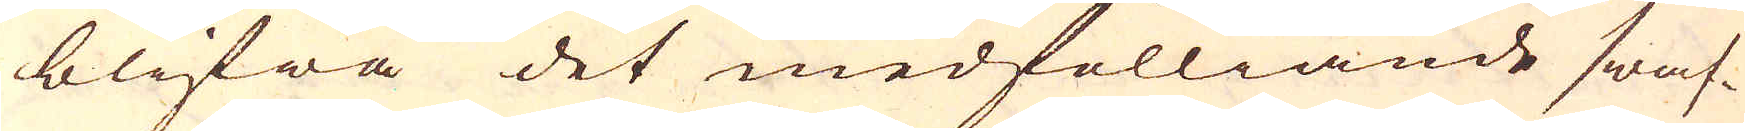blifwa det medfölliande swaf-
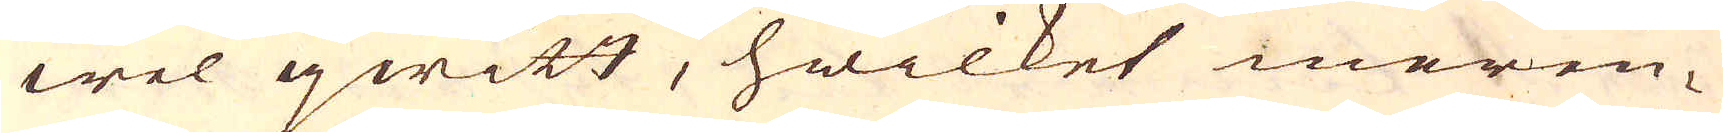wel qwitt, hwilket meren-
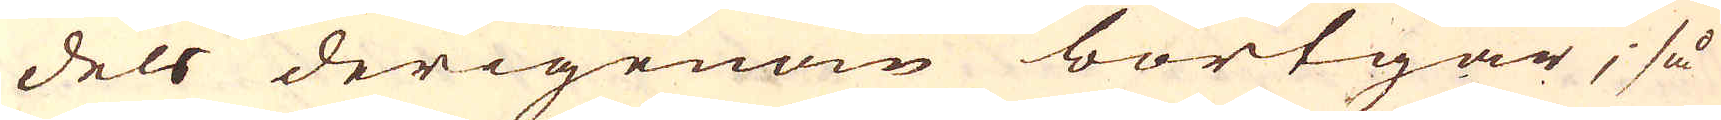dels derigenom bortgår; så
